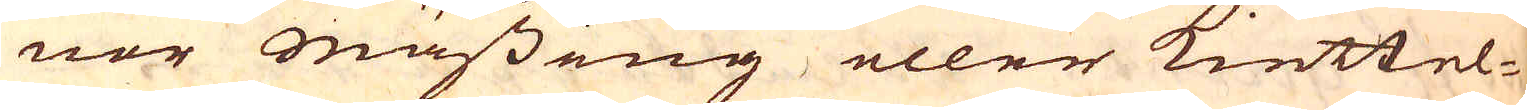nor Mässing eller Kiettel-
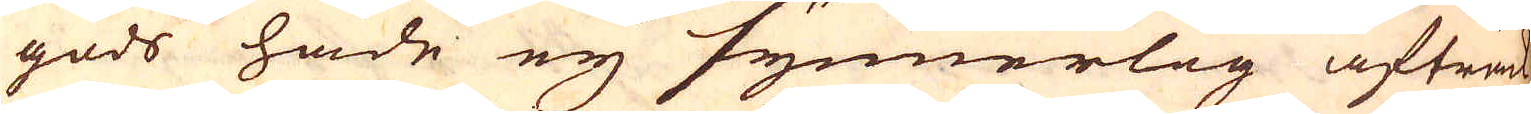gods hade ey synnerlig afträde
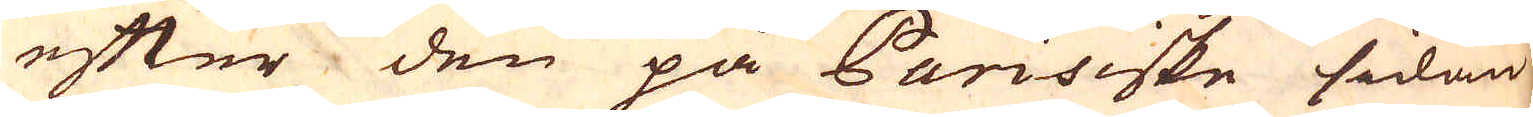efter den på Parisiske sidan
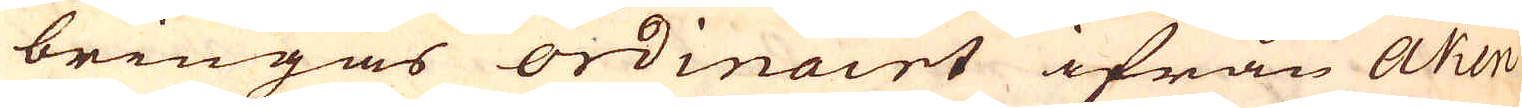bringas ordinairt ifrån Aken
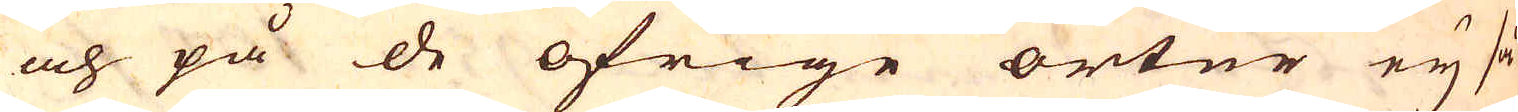och på de öfrige orter ey så
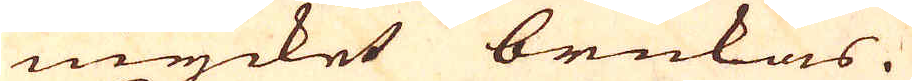mycket brukas.
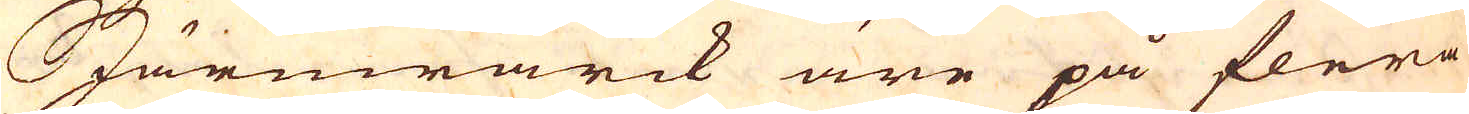Järnwärck äre på flera
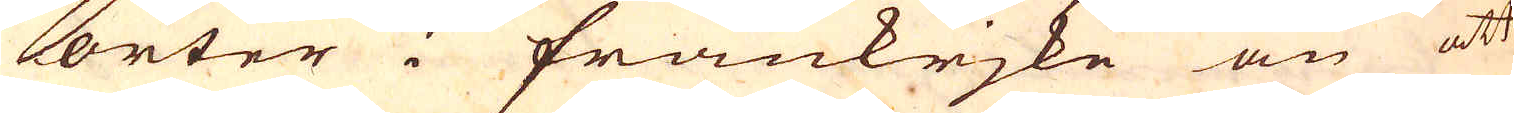orter i Frankrjke än att
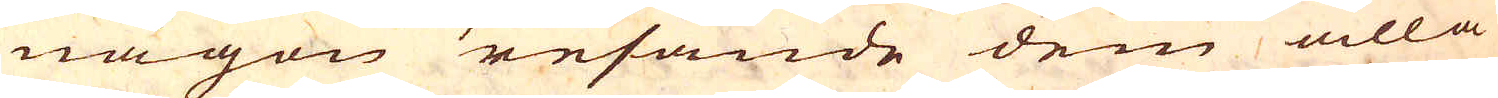någon resande dem alla
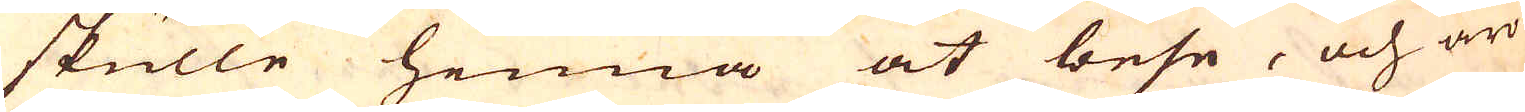skulle hinna at bese, och äro
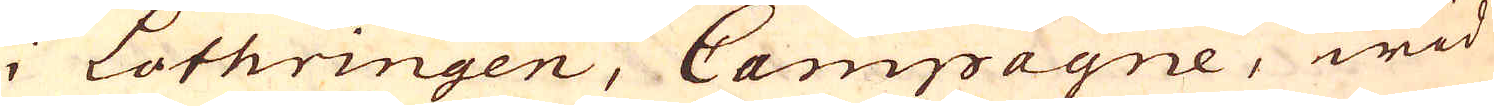i Lothringen, Campagne, wid
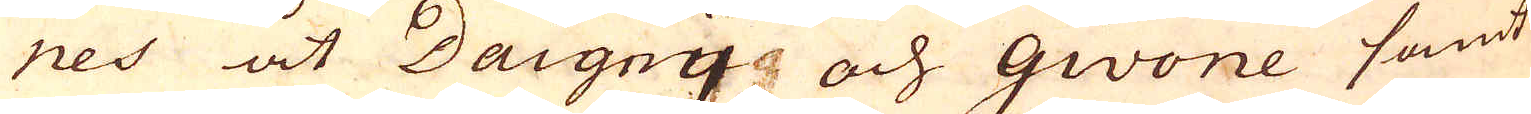nes åt Daigny och Givone samt
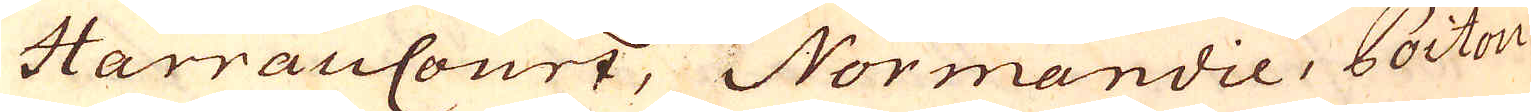HarrauCourt, Normandie, Poitou
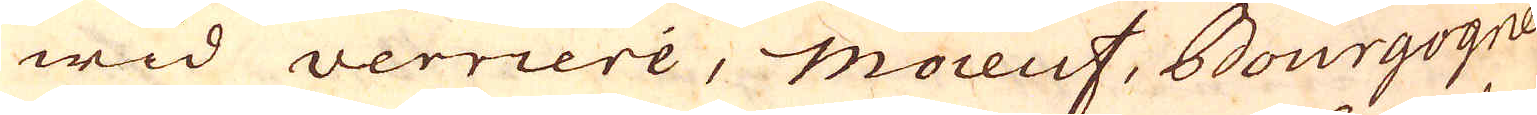wid Verriere, Moieuf, Bourgogne
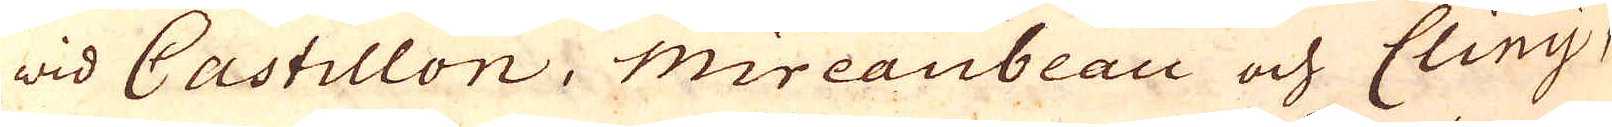wid Castillon, Mireaubeau och Cliny,
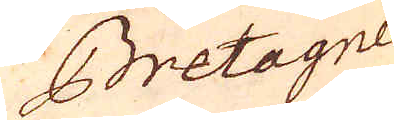Bretagne
